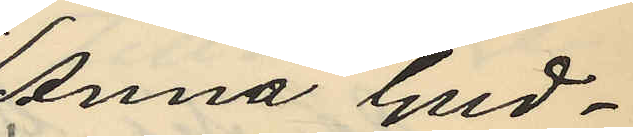Anna Gud¬
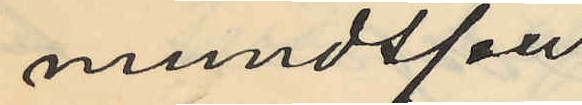mundsson
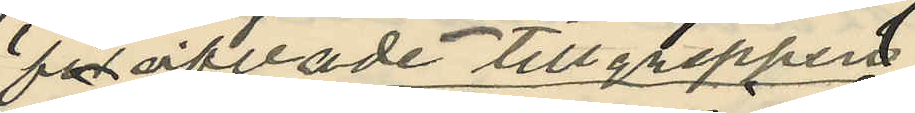föröfvade tillgreppen
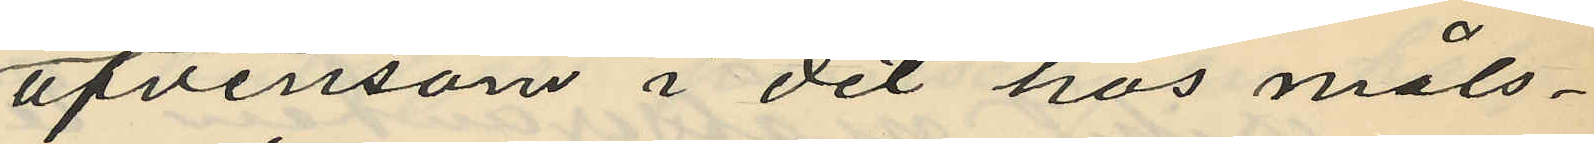äfvensom i det hos måls¬
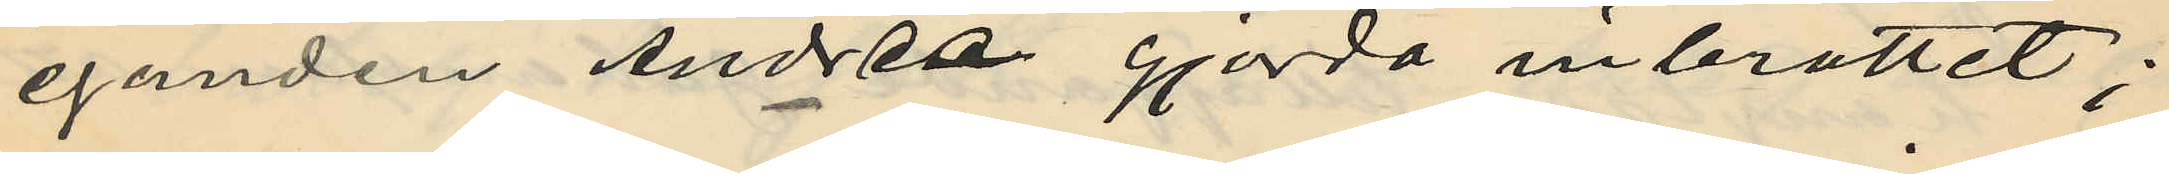eganden Andrée gjorda inbrottet;
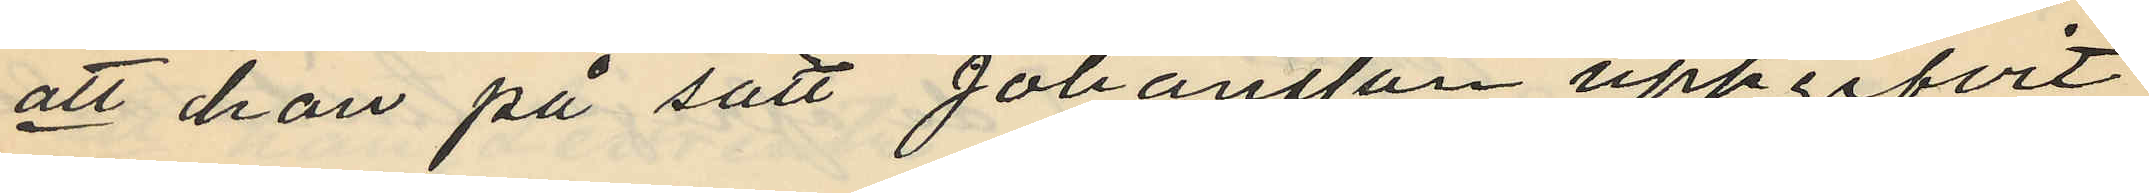att han på sätt Johansson uppgifvit
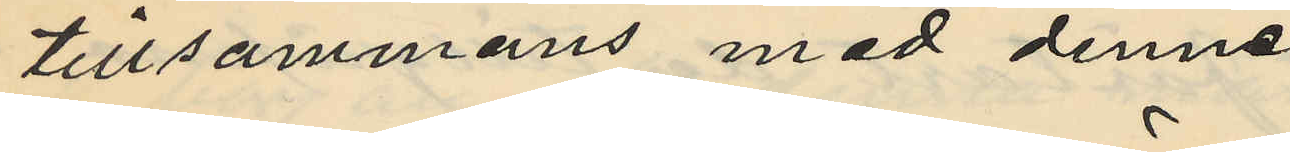tillsammans med denne
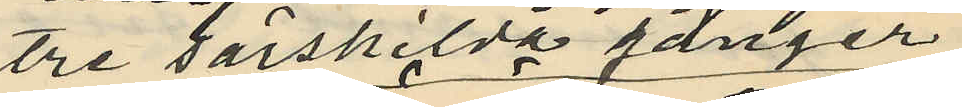tre särskilda gånger
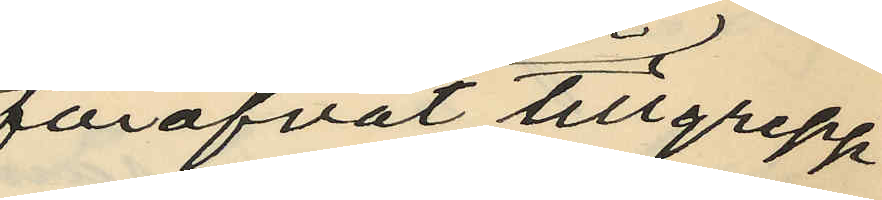föröfvat tillgrepp
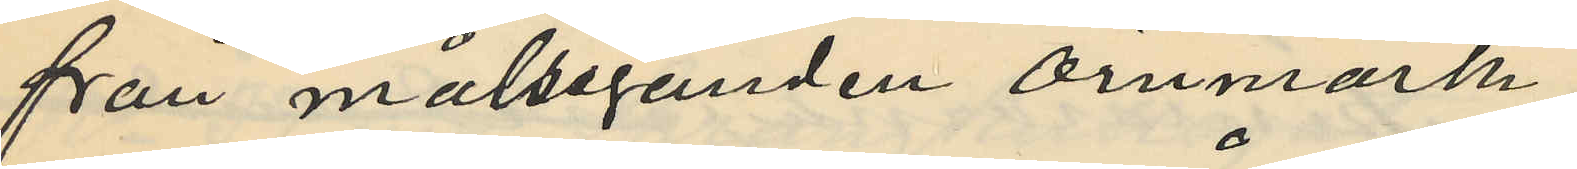från målseganden Örnmark;
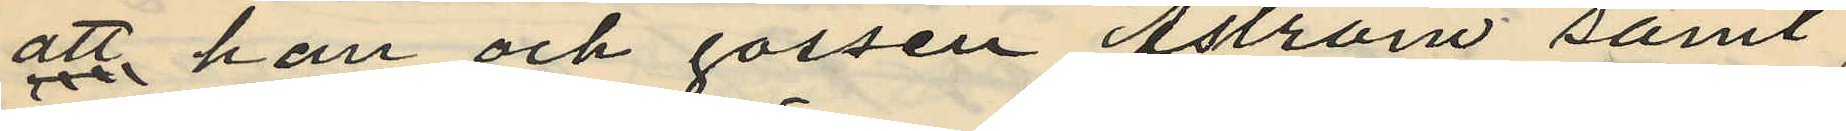att han och gossen Åström samt
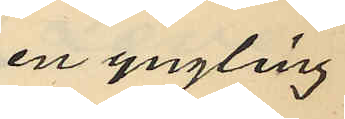en yngling
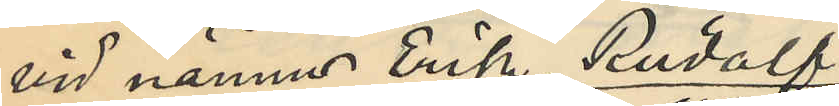vid namn Erik Rudolf
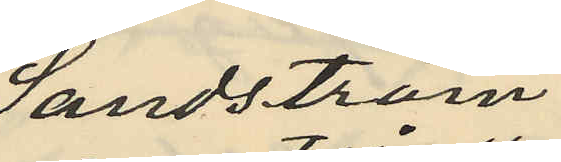Sandström
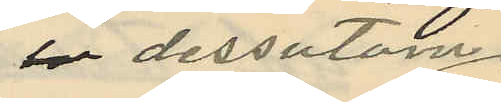dessutom
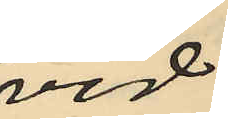vid
